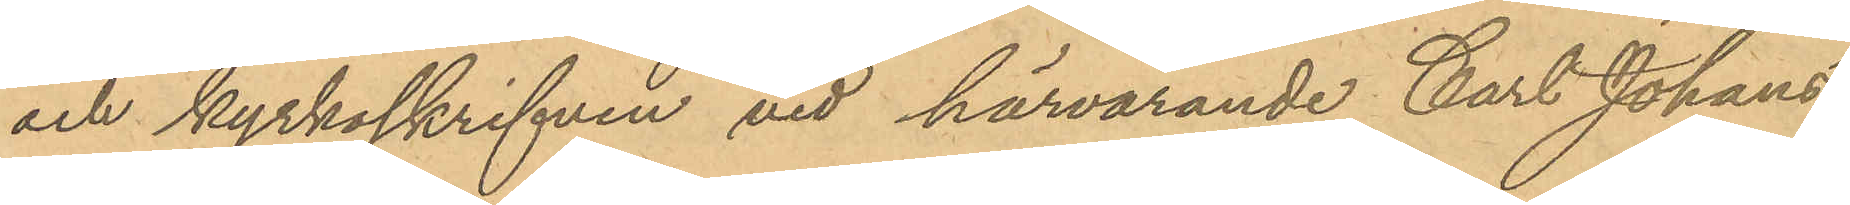och kyrkoskrifven vid härvarande Carl Johans
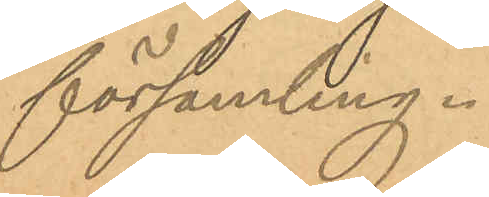föramling.
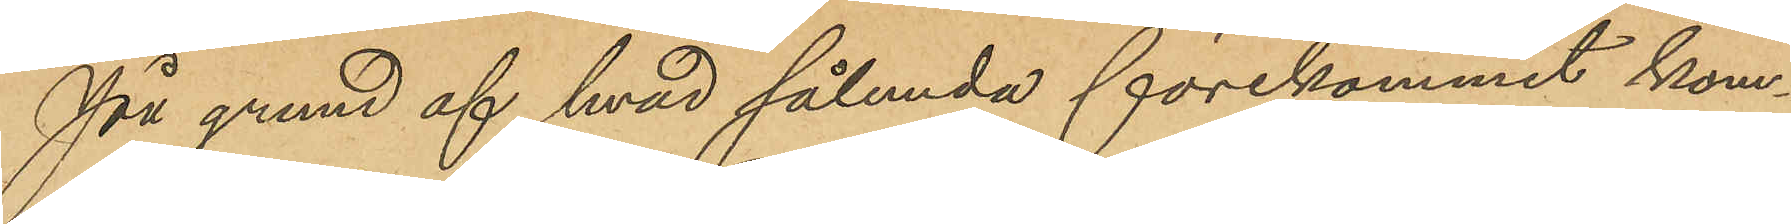På grund af hvad sålunda förekommit kom¬
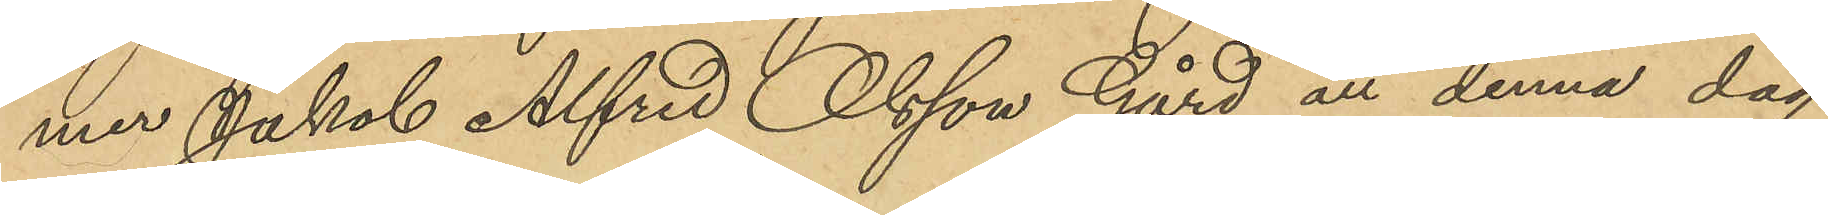mer Jakob Alfred Olsson Gård att denna dag
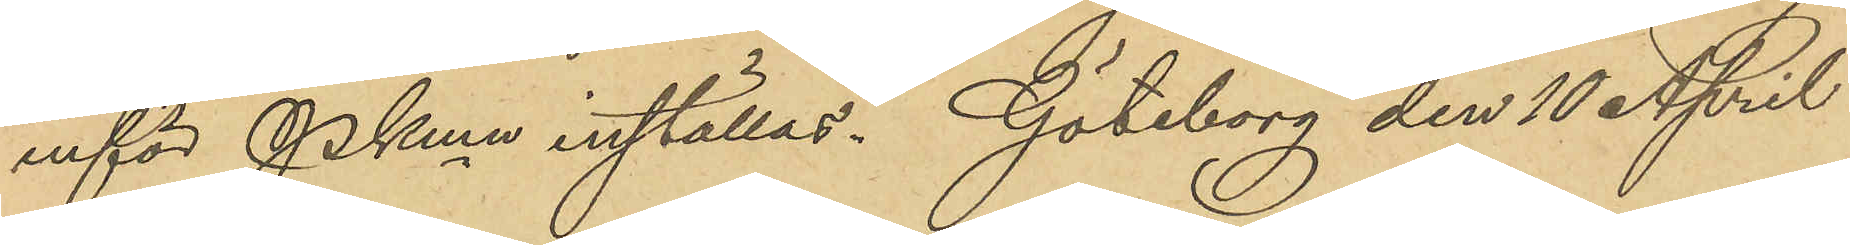inför PKmn inställas. Göteborg den 10 April
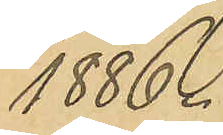1886.
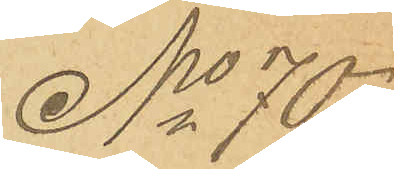No 70
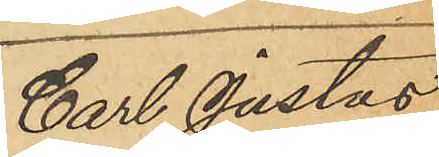Carl Justus
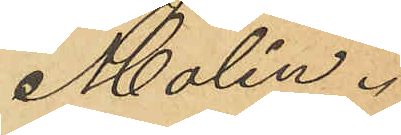Molin.
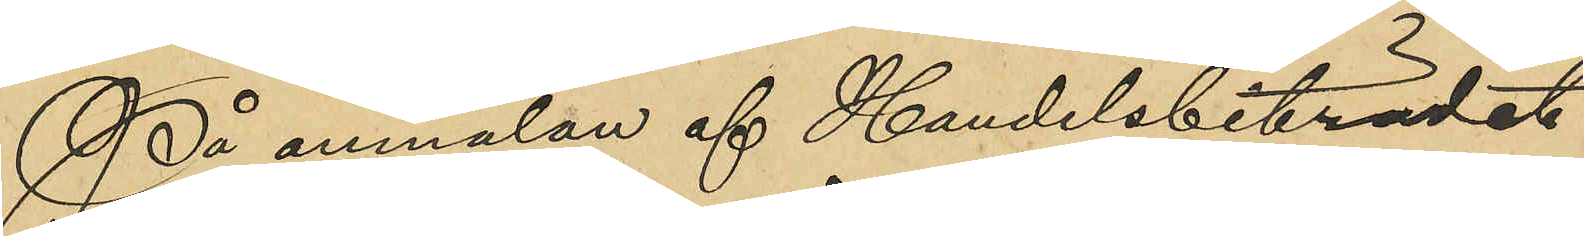På anmälan af Handelsbiträdet
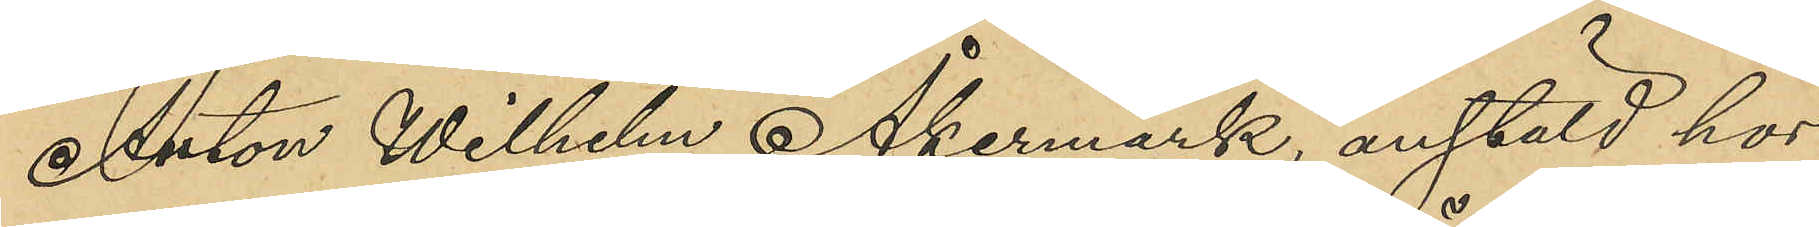Anton Wilhelm Åkermark, anstäld hos
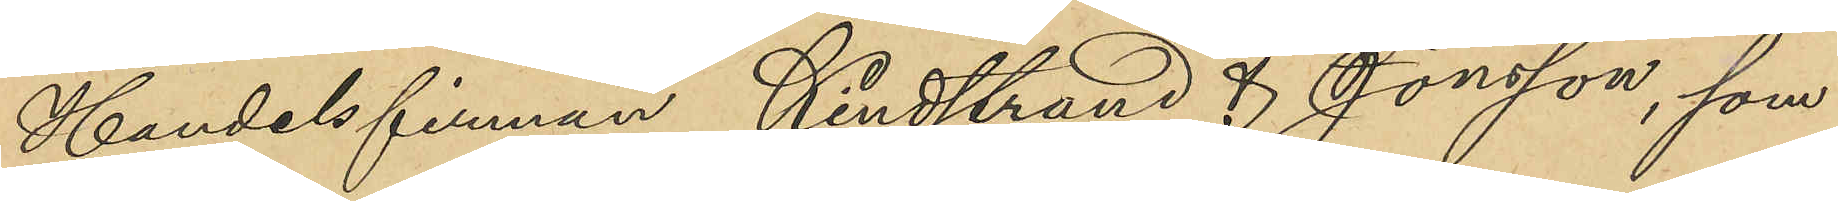Handelsfirman Kindstrand & Jönsson, som
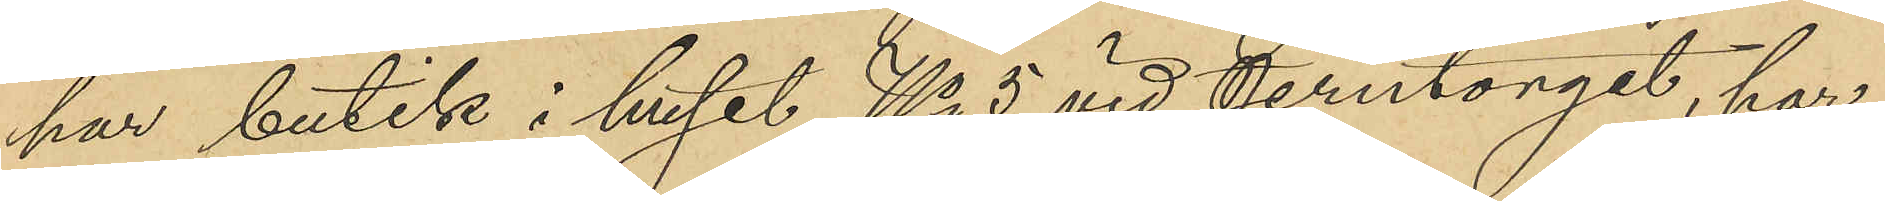har butik i huset No 5 vid Jerntorget, har
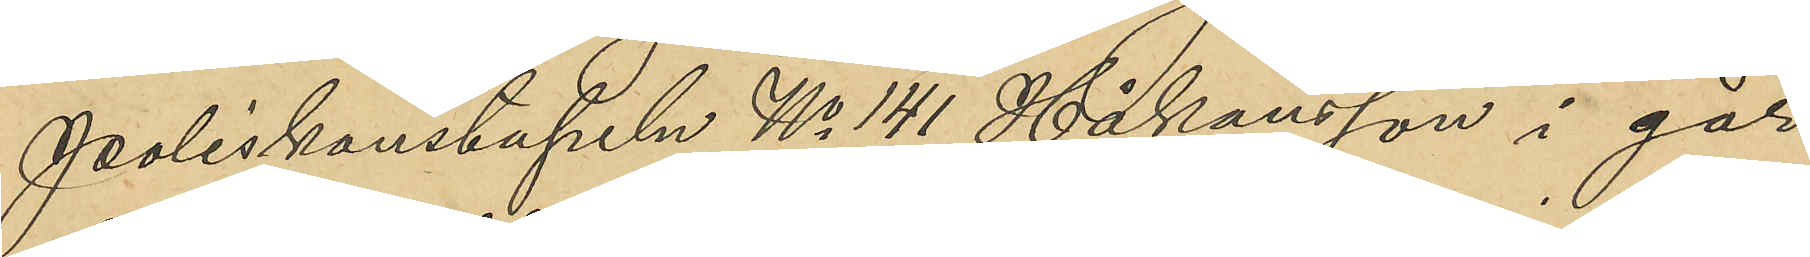Poliskonstapeln No 141 Håkansson i går
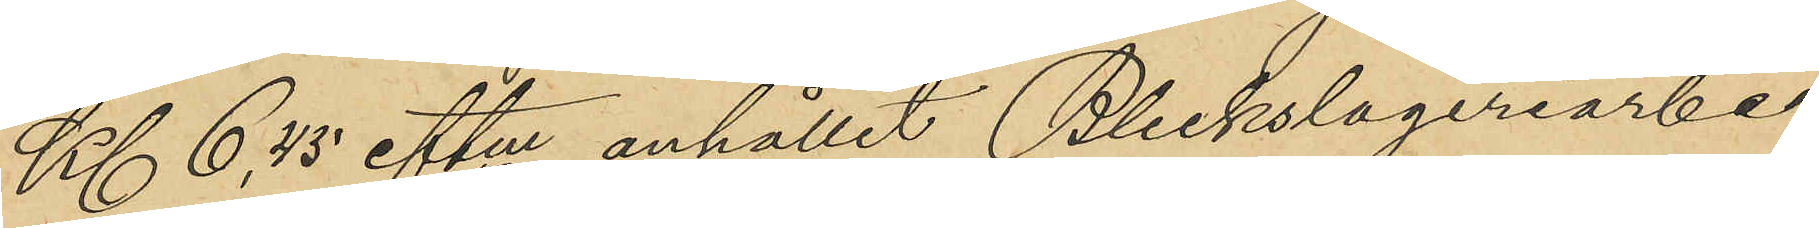Kl 6,45 eftm anhållit Bleckslageriarbe¬
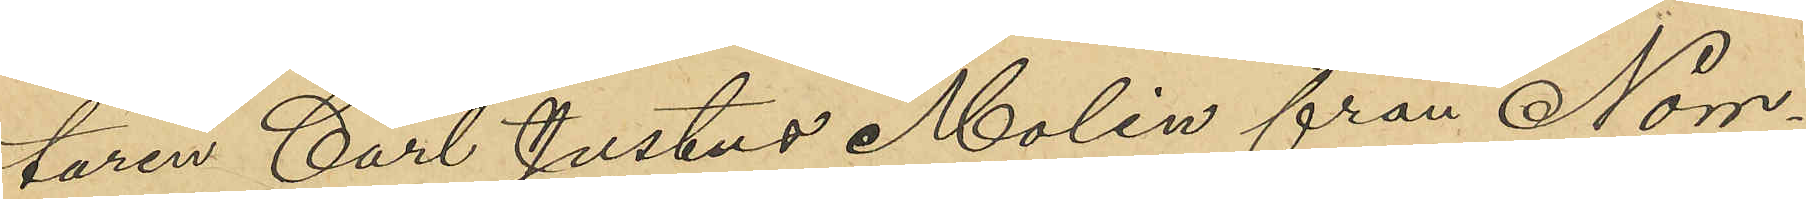taren Carl Justus Molin från Norr¬
